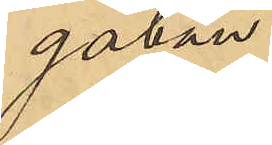gatan.
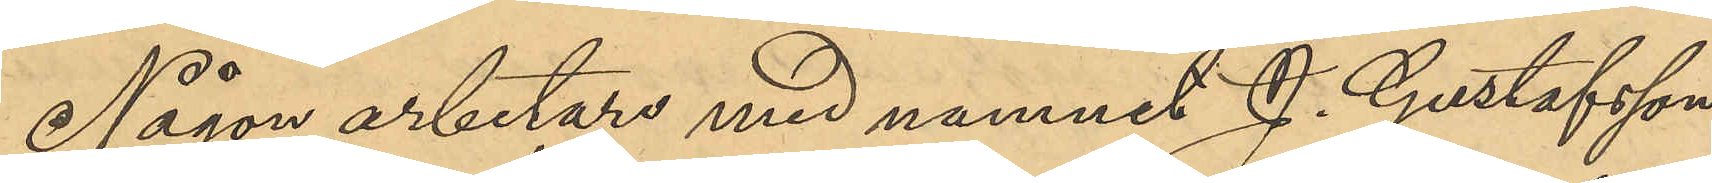Någon arbetare med namnet J. Gustasson
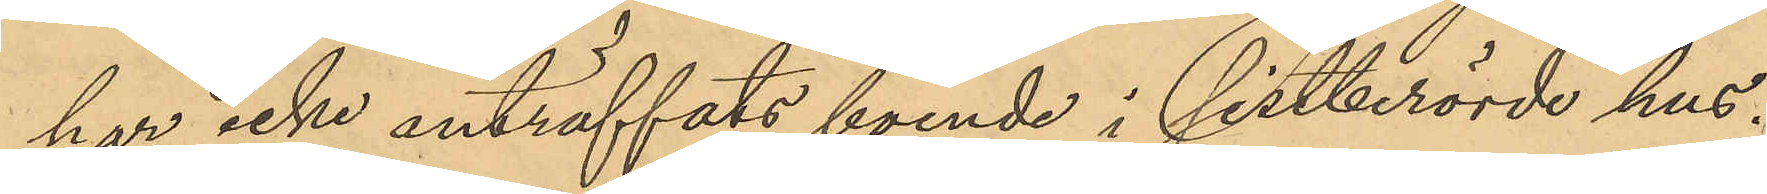har icke anträffats boende i sistberörde hus.
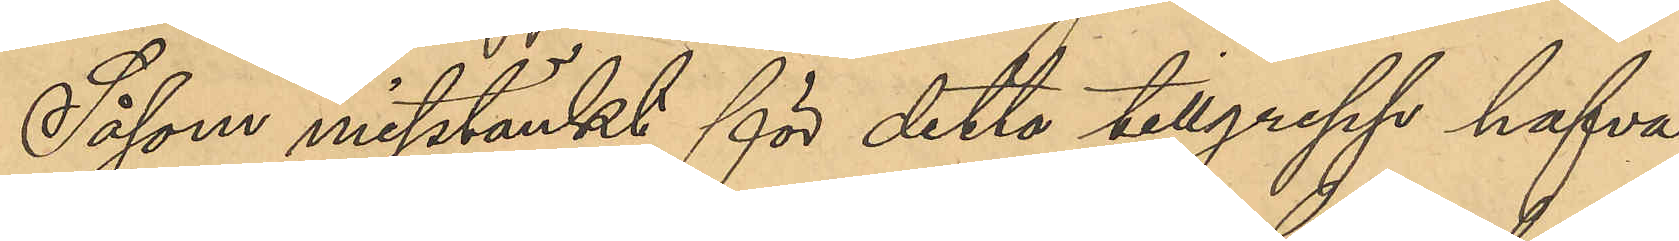Såsom misstänkt för detta tillgrepp hafva
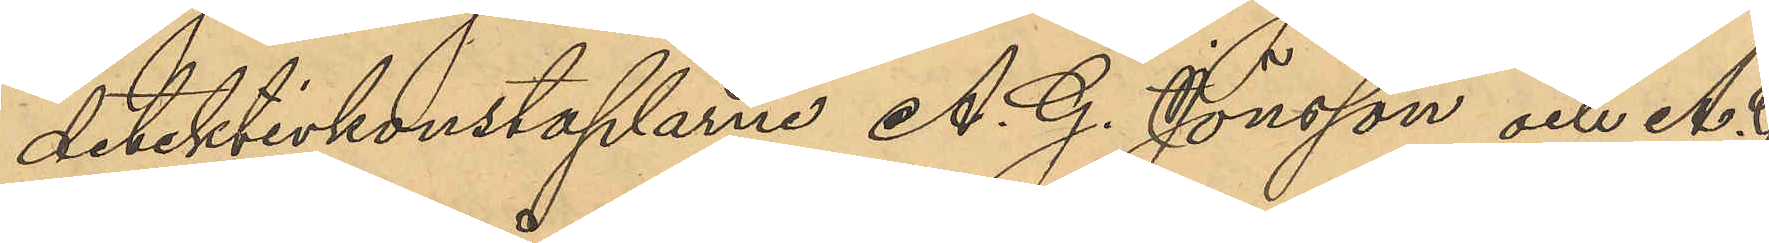detektivkonstaplarne A. G. Jönsson och A. G.
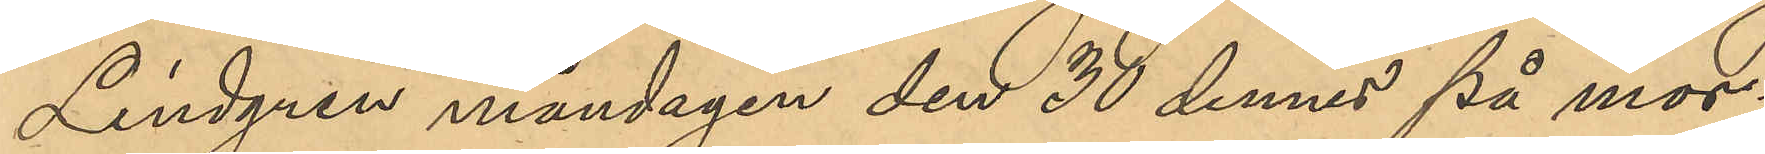Lindgren måndagen den 30 dennes på mor¬
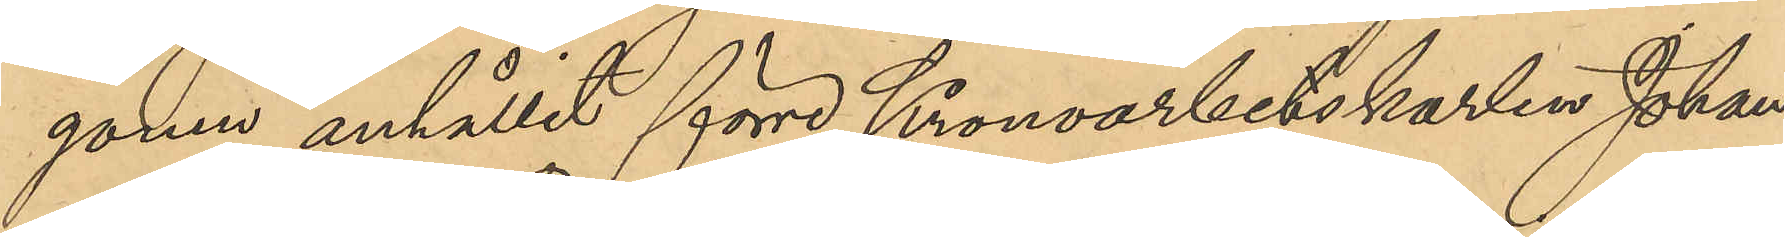gonen anhållit förre Kronoarbetskarlen Johan
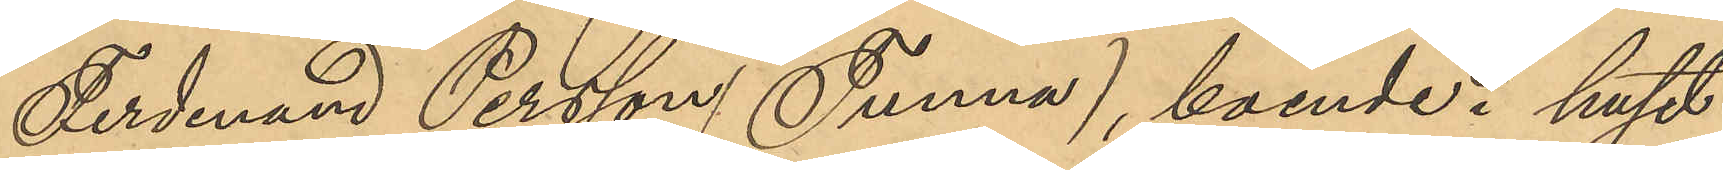Ferdinand Larsson (Tunna), boende i huset
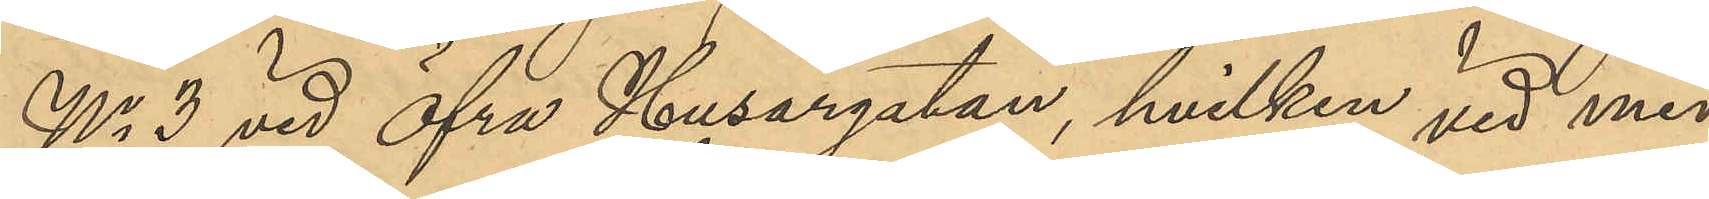No 3 vid Öfra Husargatan, hvilken vid med
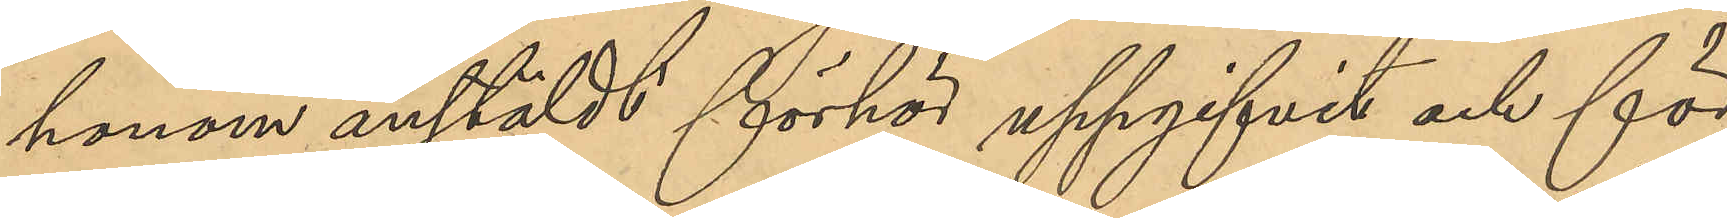honom anstäldt förhör uppgifvit och för¬
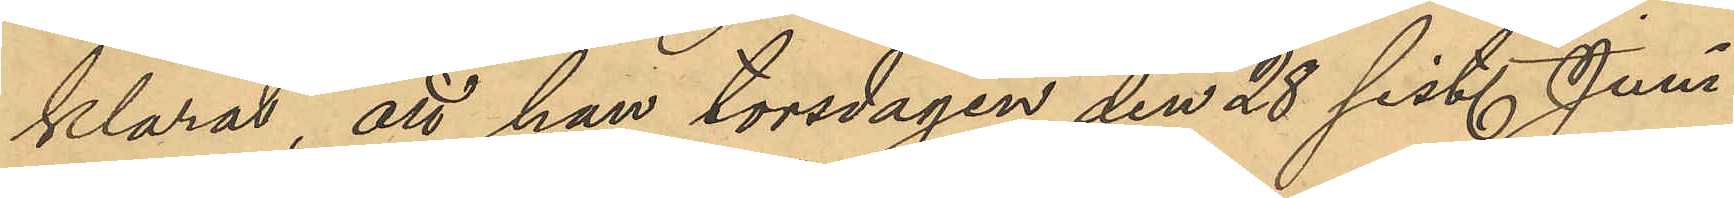klarat, att han torsdagen den 28 sist. Juni
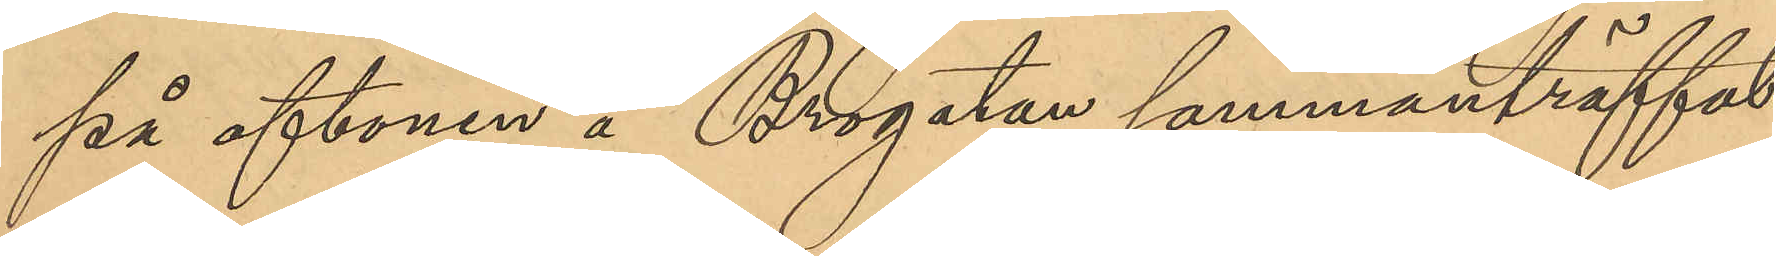på aftonen å Brogatan sammanträffat
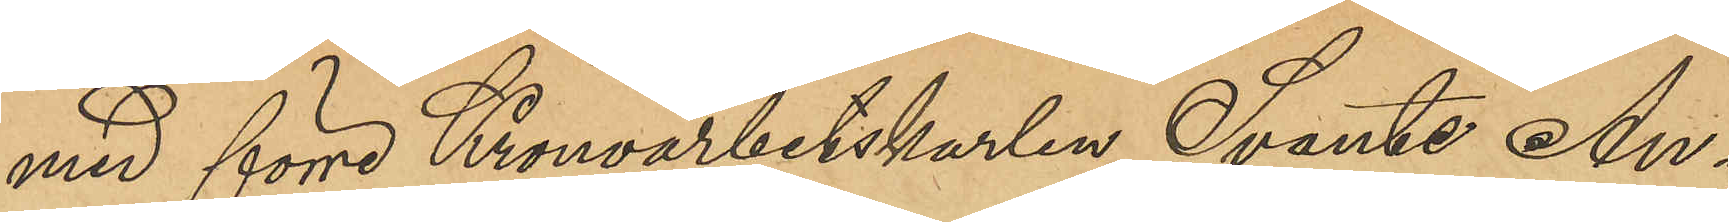med förre Kronoarbetskarlen Svante Au¬
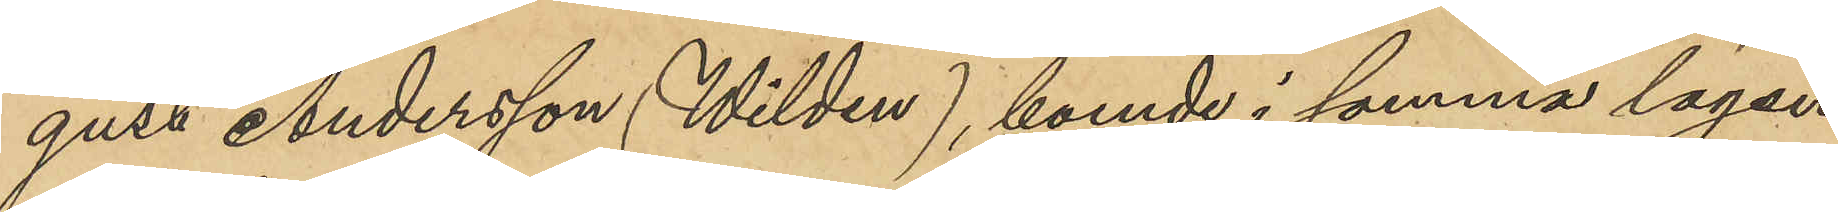gust Andersson (Wilden), boende i samma lägen¬
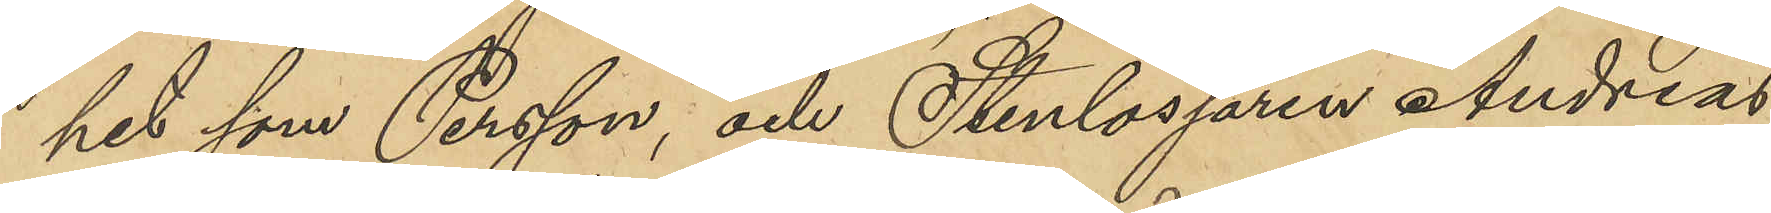het som Persson, och Stenlossaren Andreas
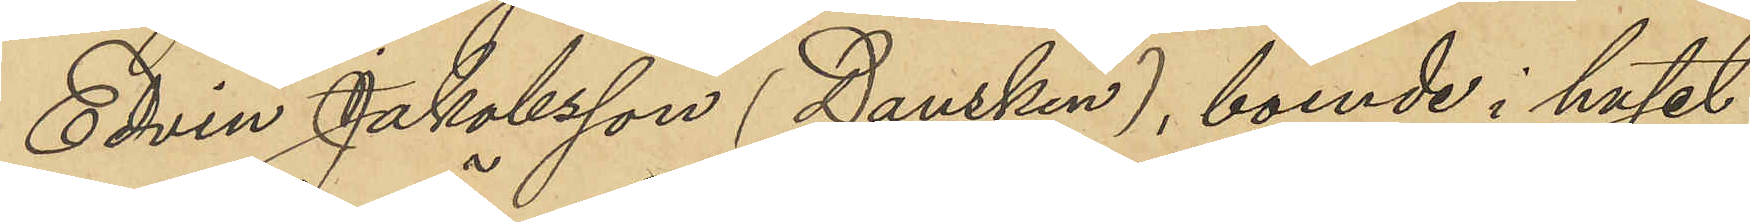Edvin Jakobsson (Dansken), boende i huset
